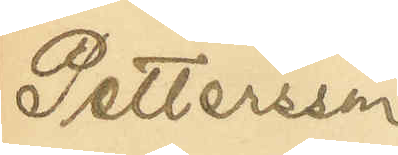Pettersson.
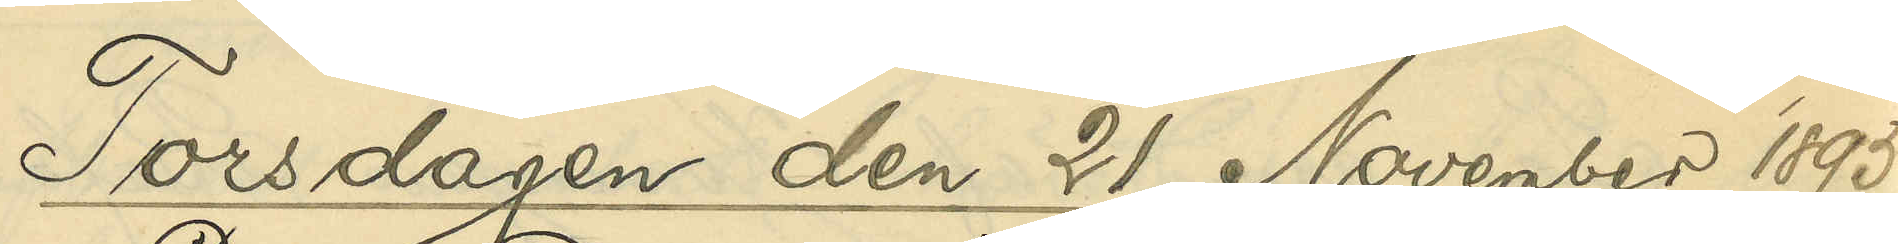Torsdagen den 21 November 1895.
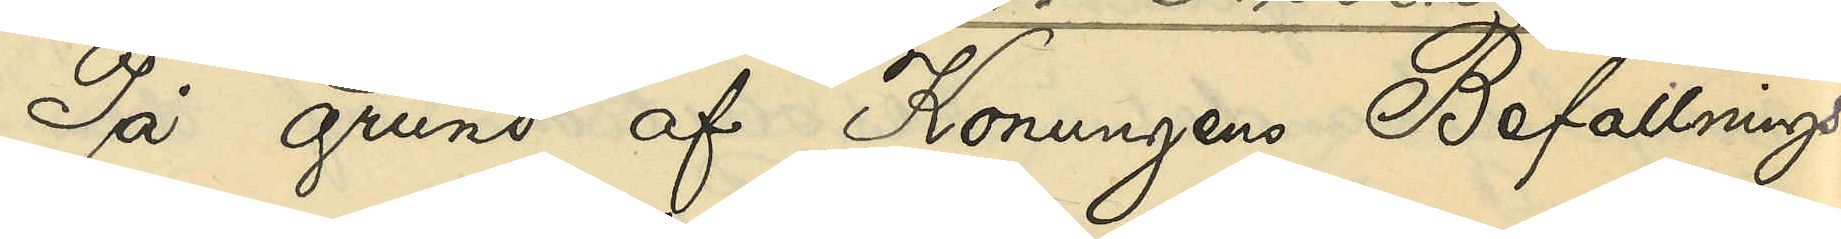På grund af Konungens Befallnings¬
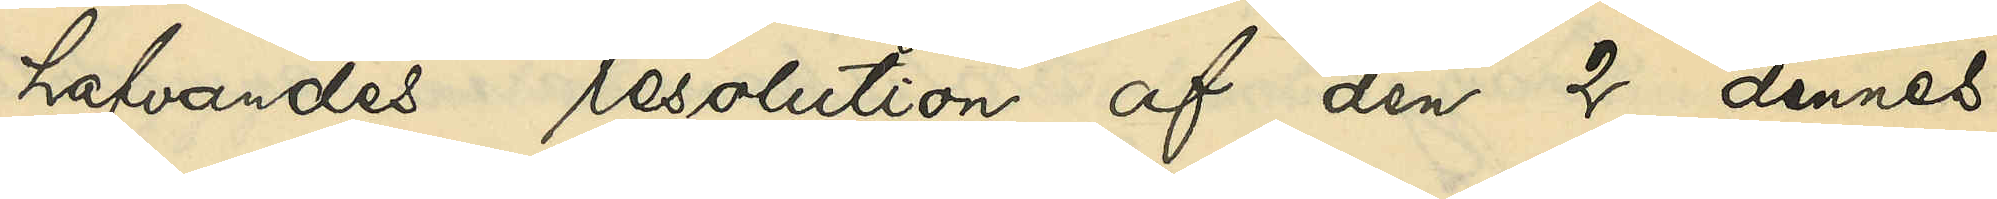hafvandes resolution af den 2 dennes,
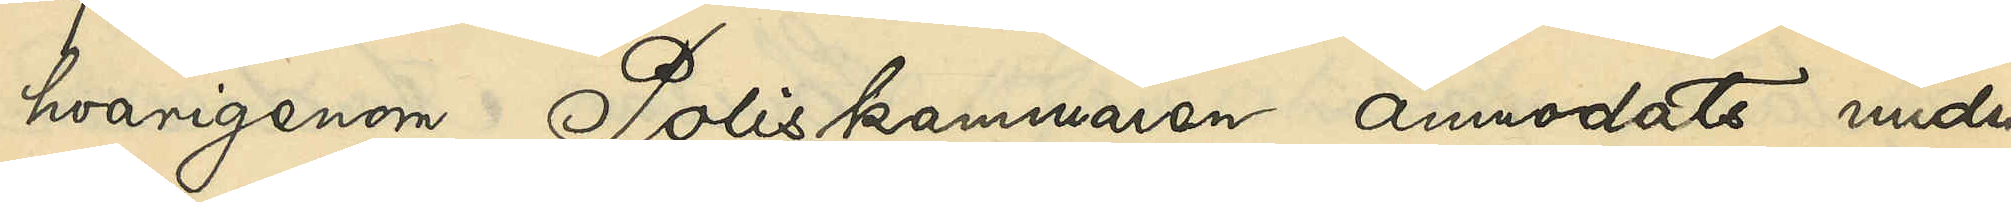hvarigenom Poliskammaren anmodats under¬
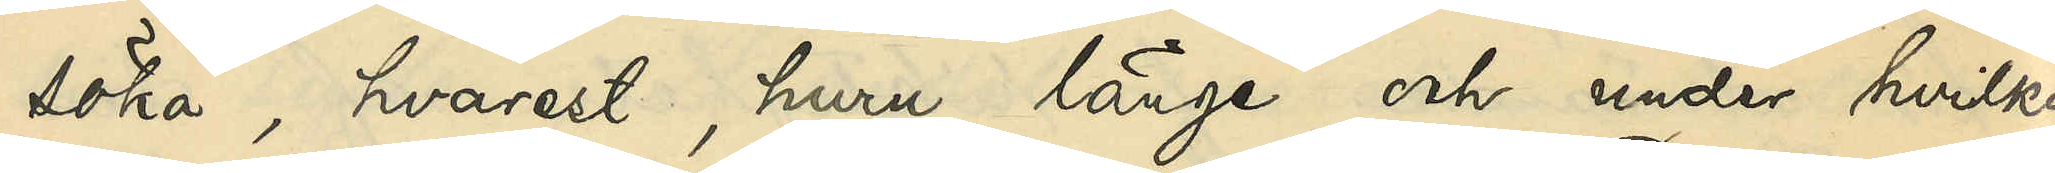söka, hvarest, huru länge och under hvilka
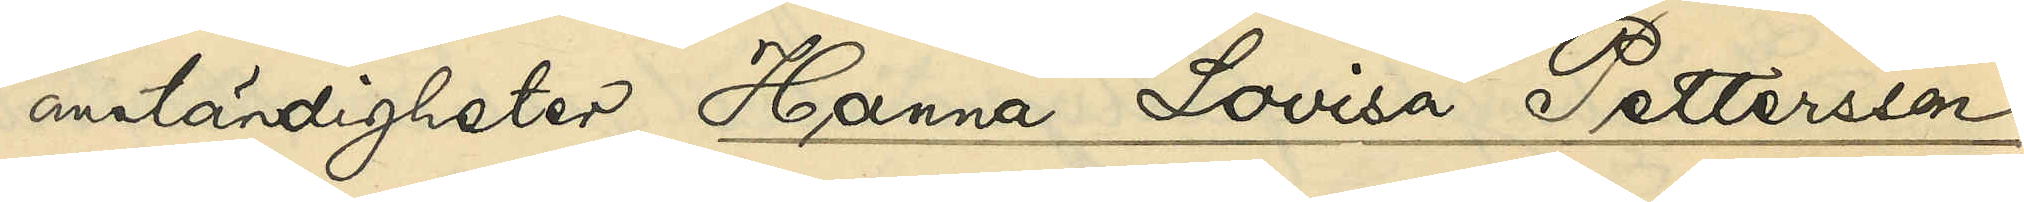omständigheter Hanna Lovisa Pettersson
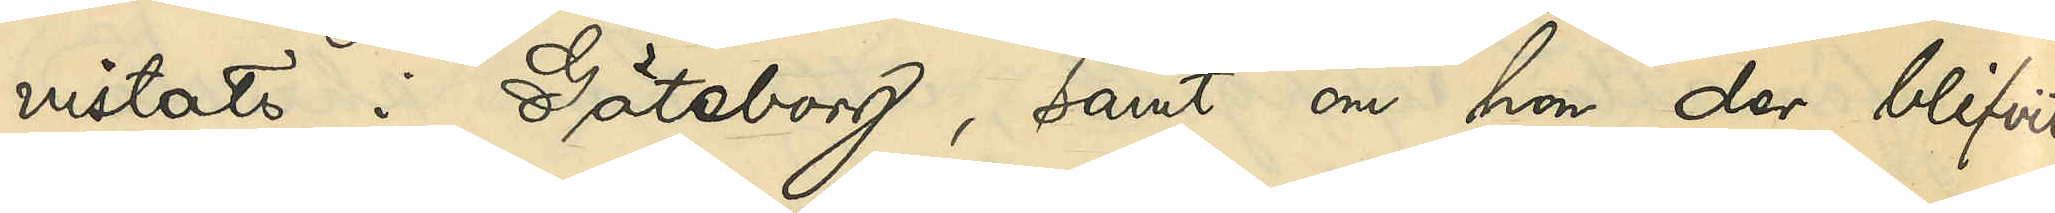vistats i Göteborg, samt om hon der blifvit
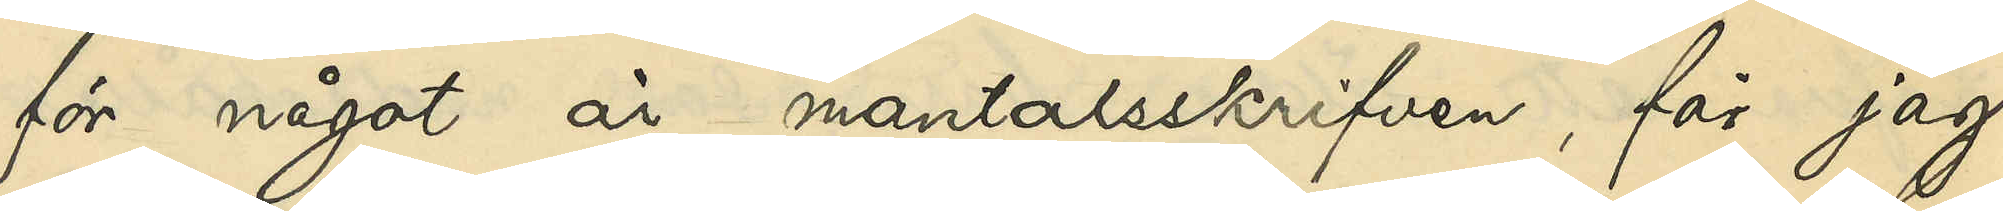för något år mantalsskrifven, får jag
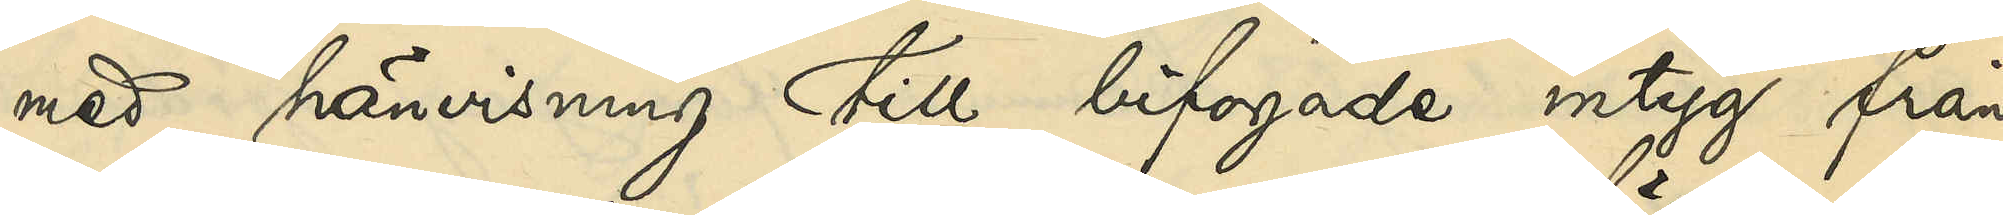med hänvisning till bifogade intyg från
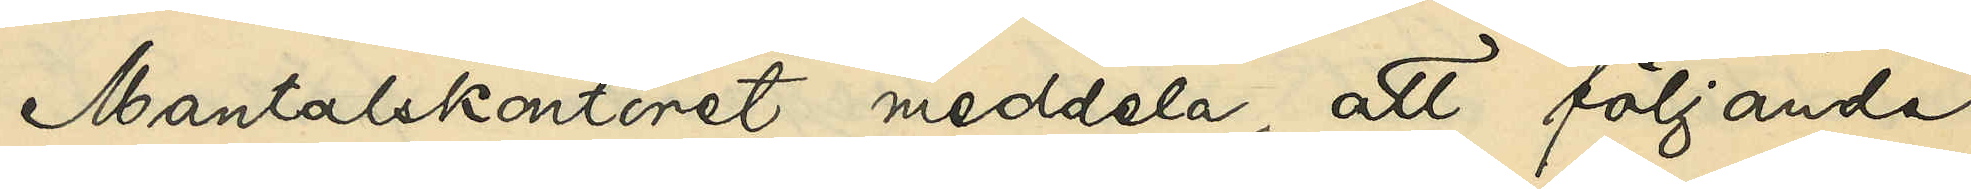Mantalskontoret medela, att följande
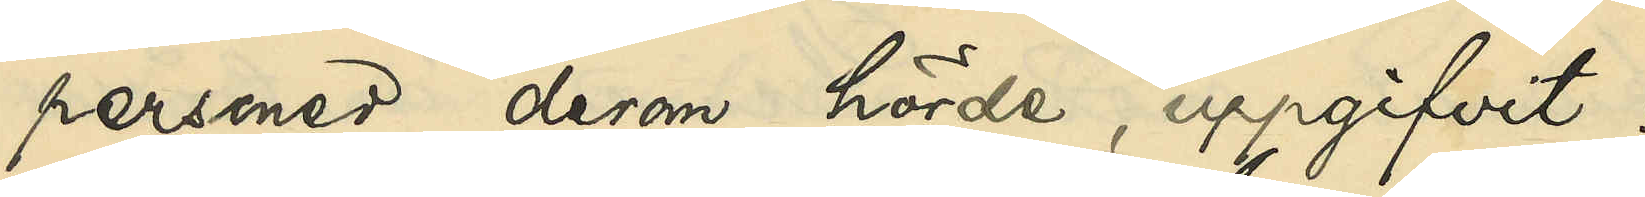personer, derom hörda, uppgifvit:
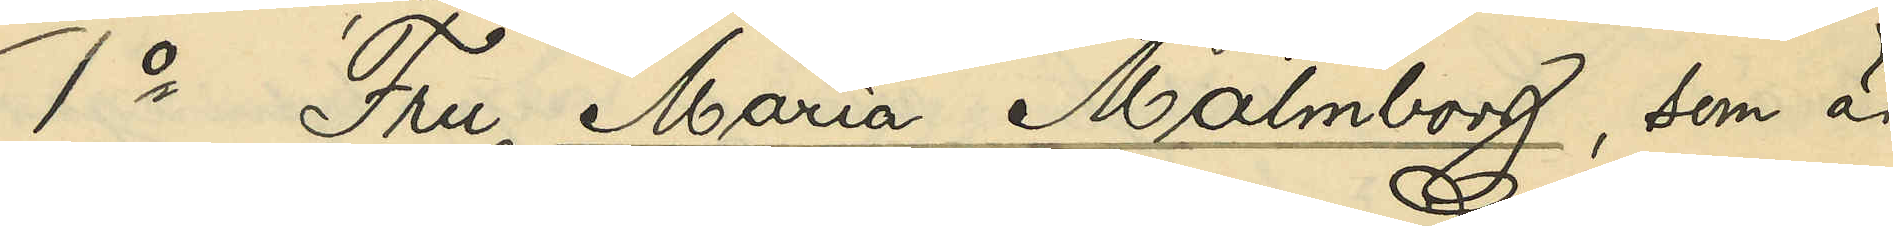1o Fru Maria Malmborg, som är
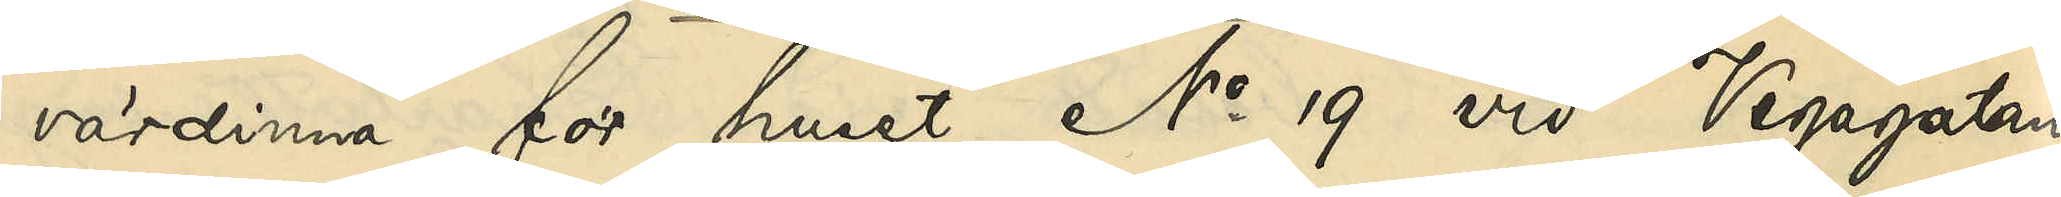värdinna för huset No 19 vid Vegagatan
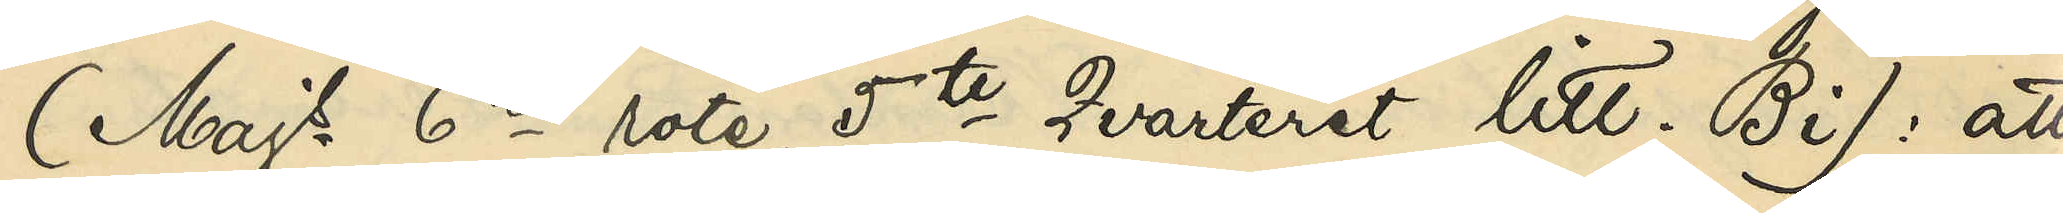(Majs 6te rote, 5te Qvarteret litt. Bi): att
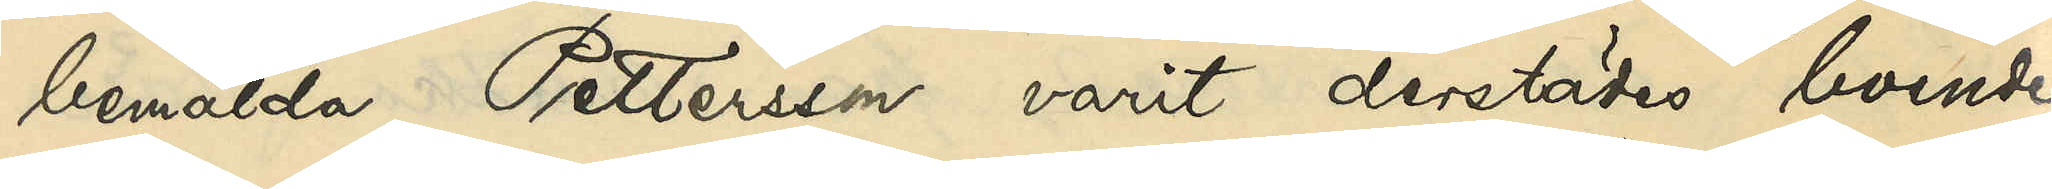bemälda Pettersson varit derstädes boende
